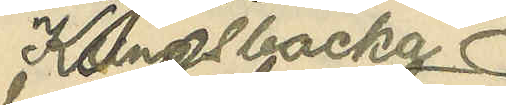i Kungsbacka
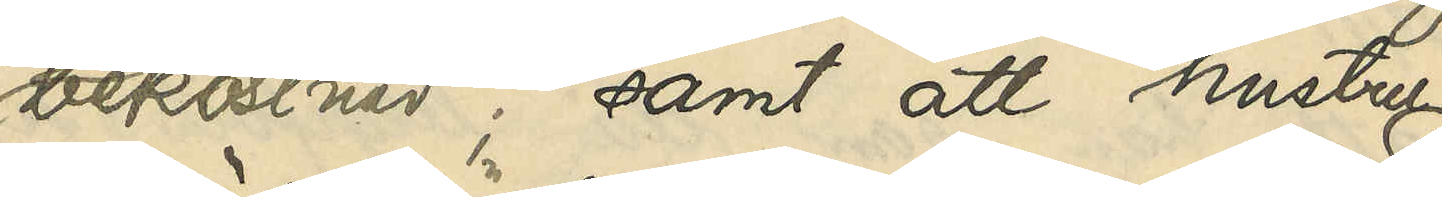bekostnad; samt att hustru
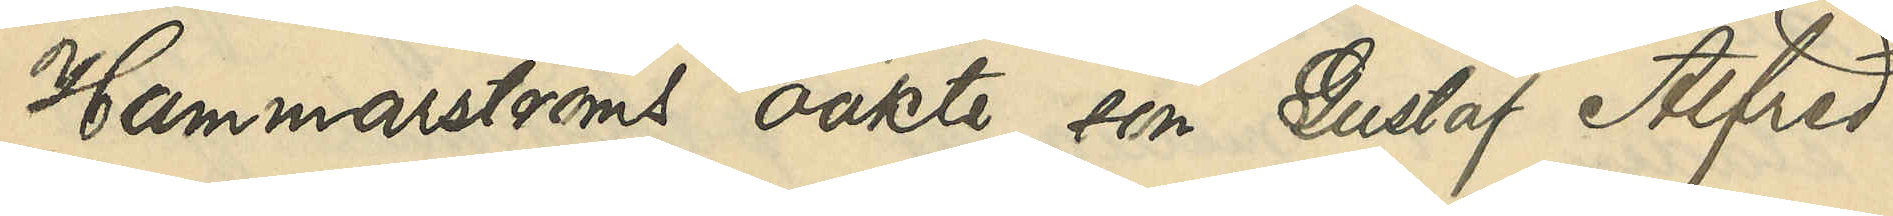Hammarströms oäkta son Gustaf Alfred
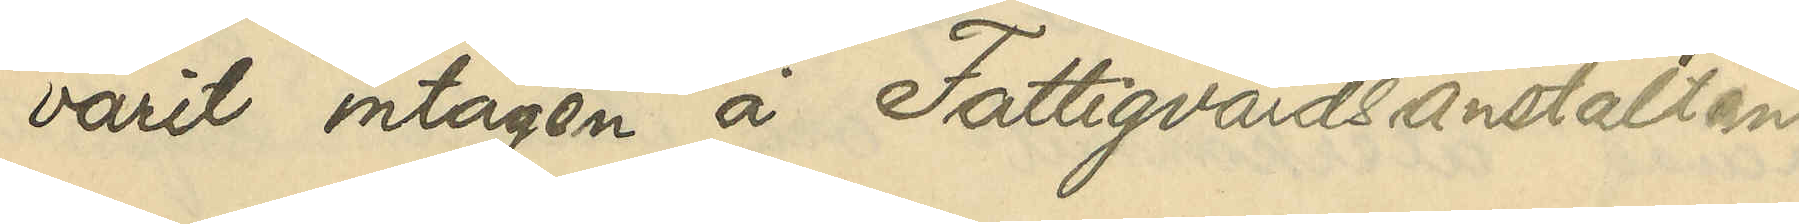varit intagen å Fattigvårdsanstalten
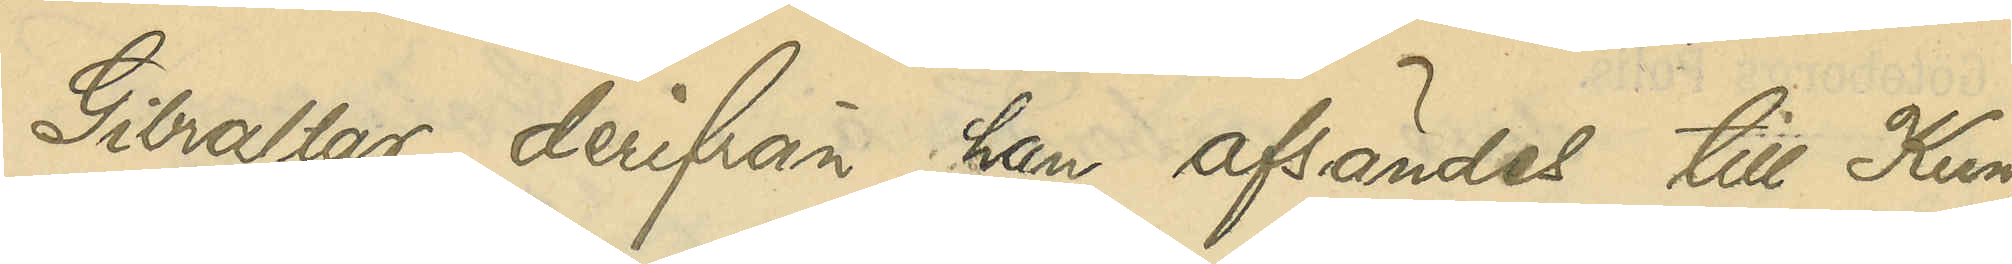Gibraltar, derifrån han afsändts till Kungs¬
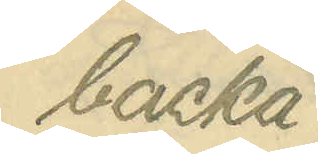backa.
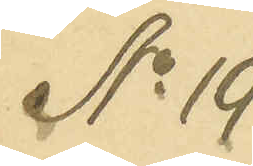No 19
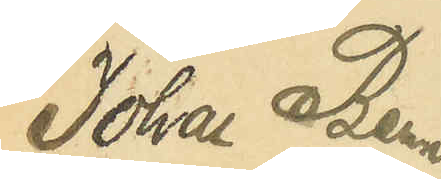Johan Bern¬
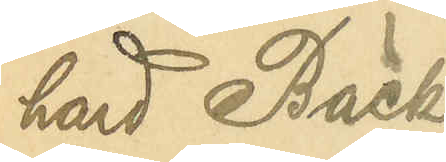hard Bäck¬
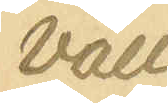vall
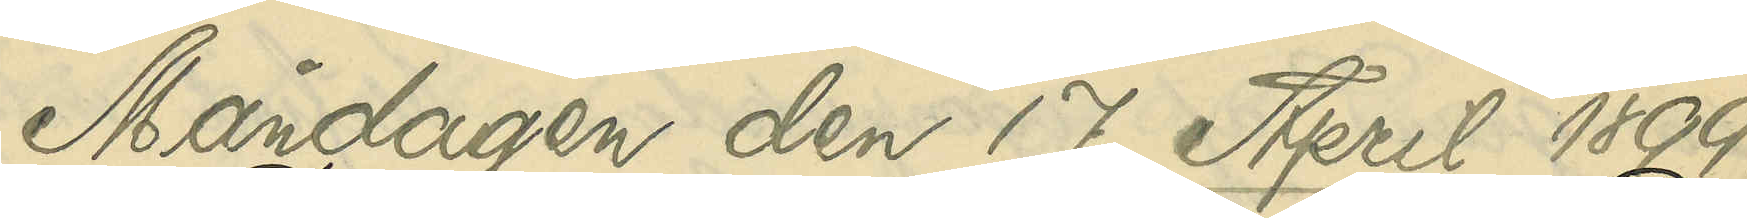Måndagen den 17 April 1899.
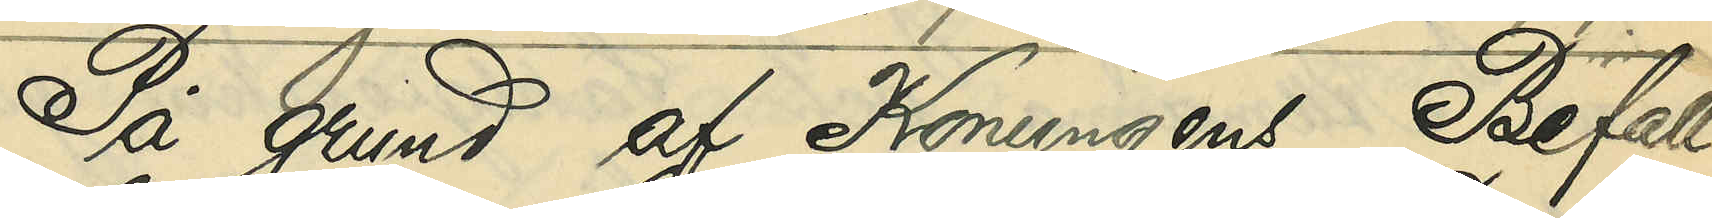På grund af Konungens Befall¬
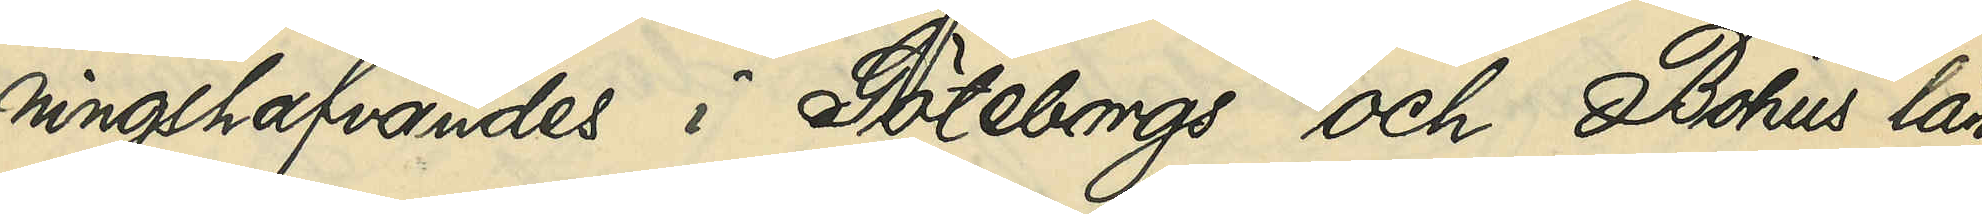ningshafvandes i Göteborgs och Bohus län
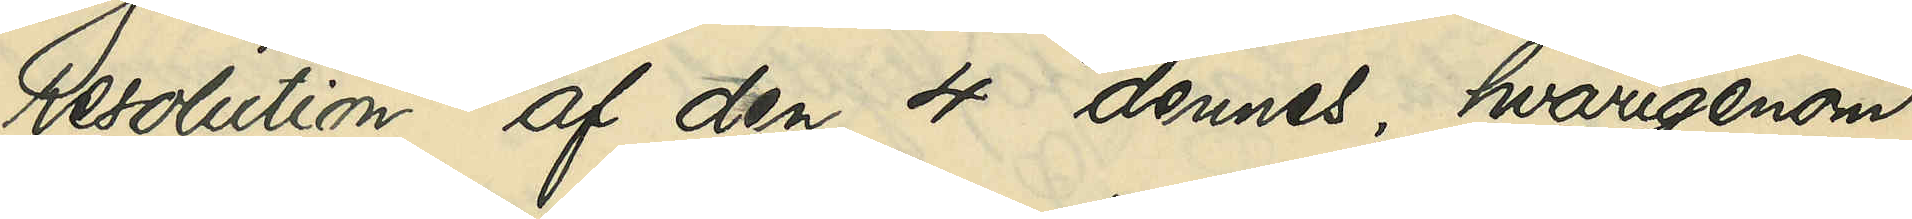resolution af den 4 dennes, hvarigenom
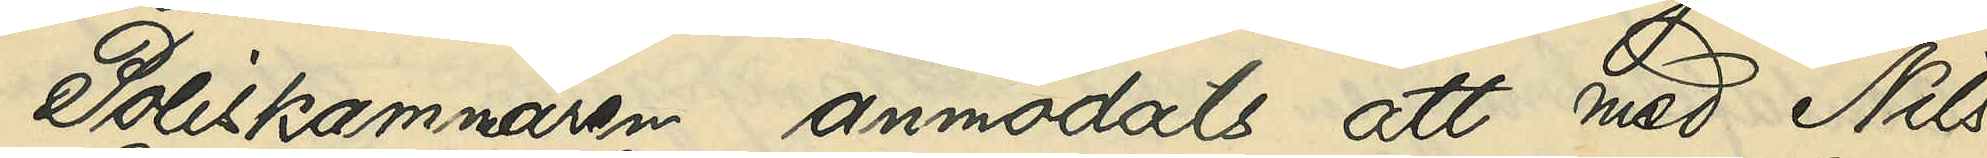Poliskammaren anmodats att med Nils
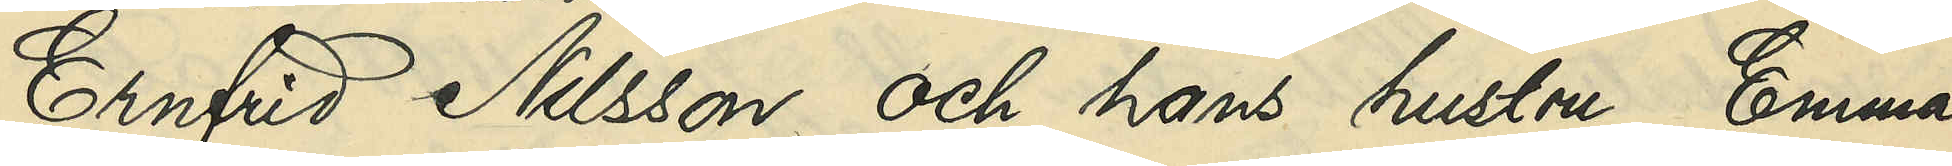Ernfrid Nilsson och hans hustru Emma
